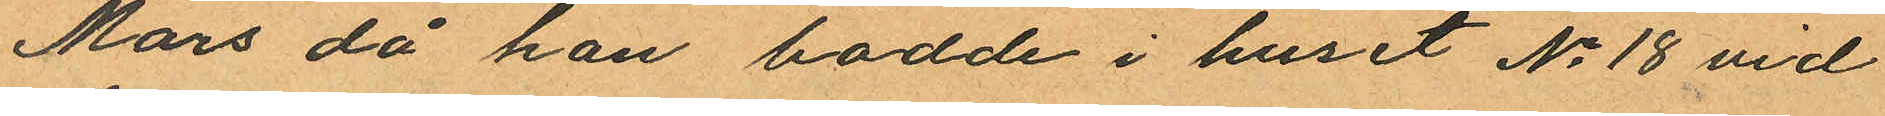Mars då han bodde i huset No 18 vid
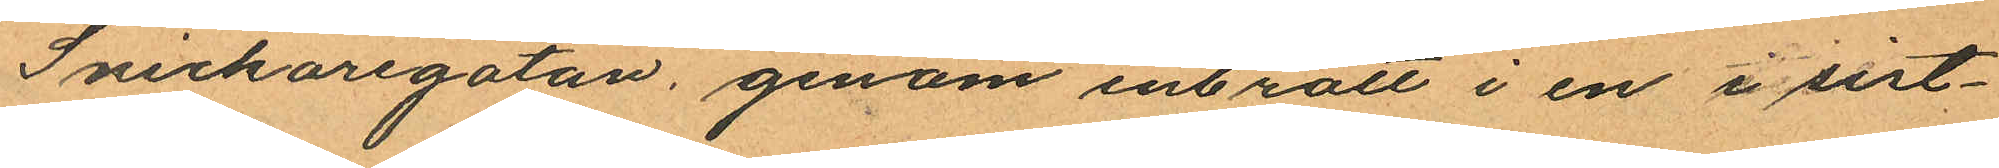Snickaregatan, genom inbrott i en i sist¬
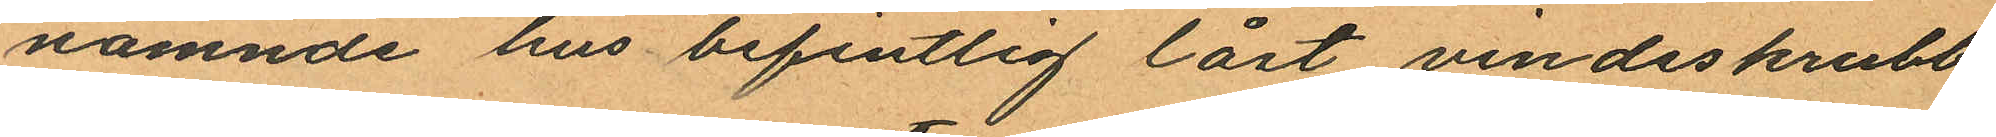nämnde hus befintlig låst vindsskrubb
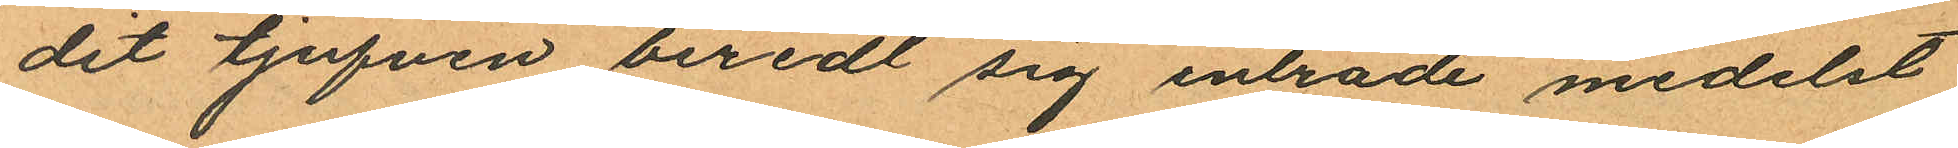dit tjufven beredt sig inträde medelst
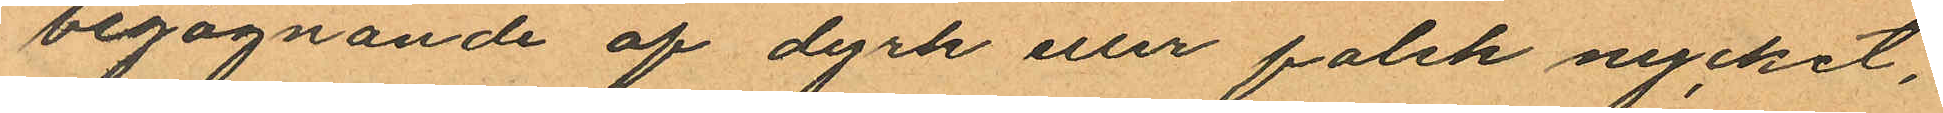begagnande af dyrk eller falsk nycket,
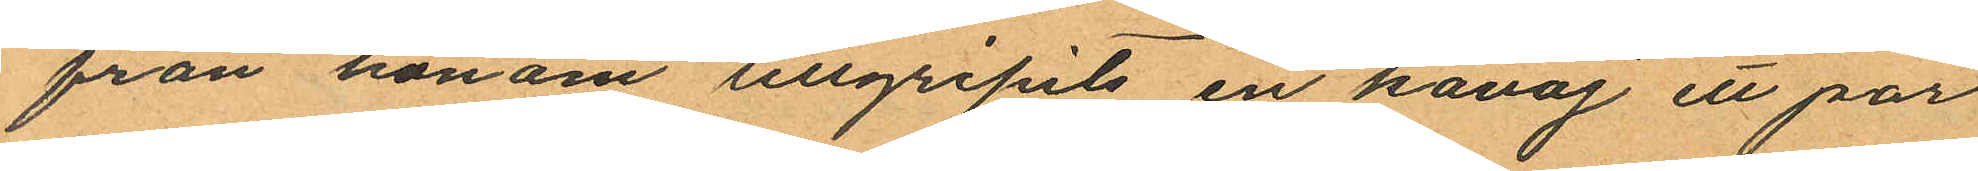från honom tillgripits en kavaj ett par
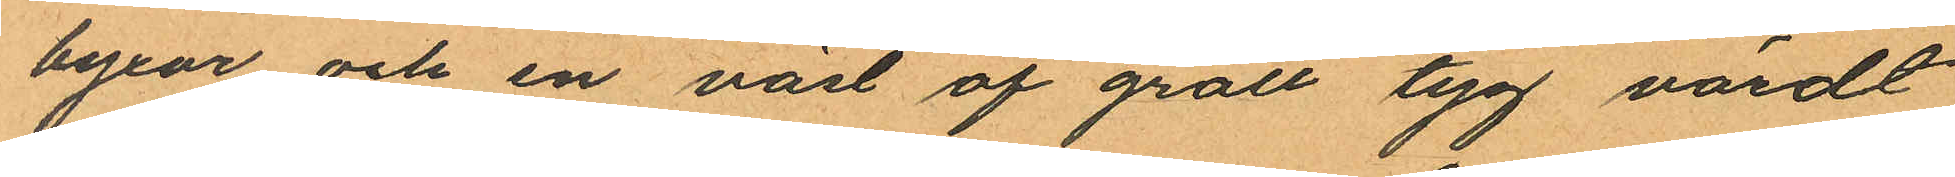byxor och en väst af grått tyg värdt
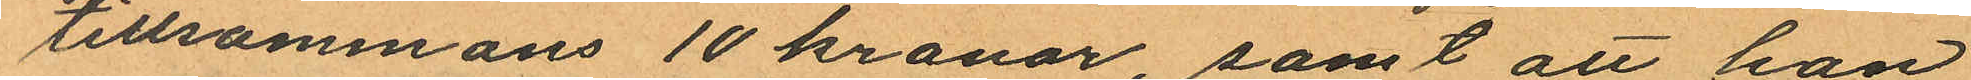tillsammans 10 kronor, samt att han
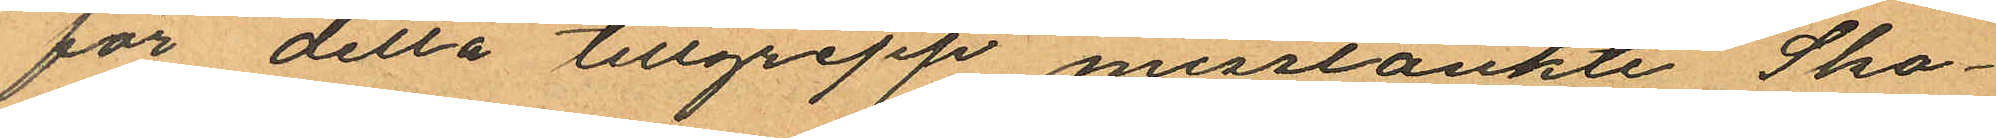för detta tillgrepp misstänkte Sko¬
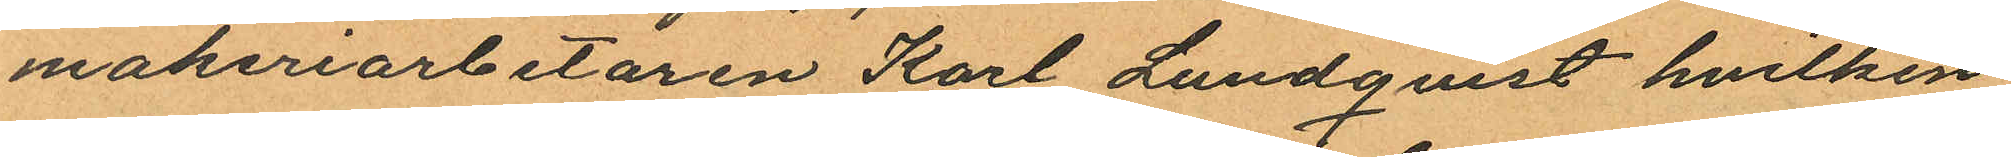makeriarbetaren Karl Lundqvist hvilken
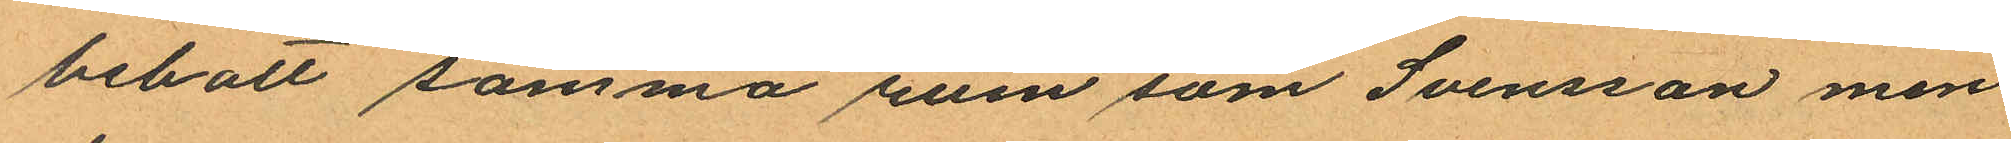bebott samma rum som Svensson men
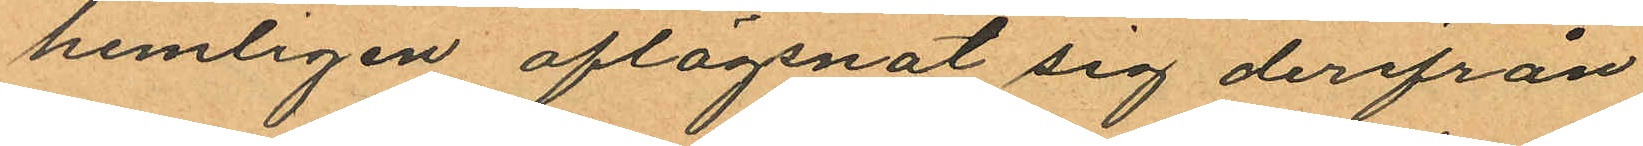hemligen aflägsnat sig derifrån
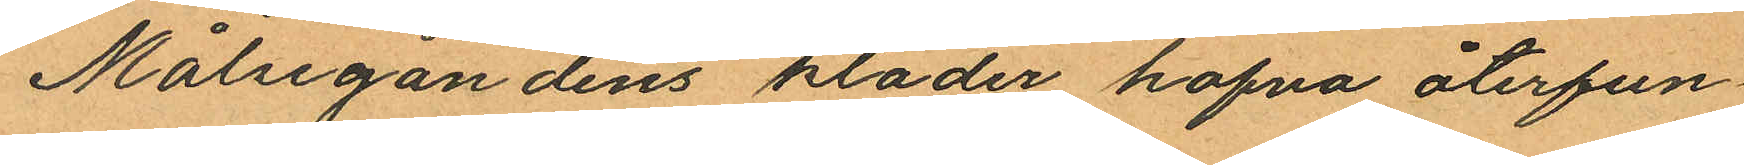Målsegandens kläder hafva återfun¬
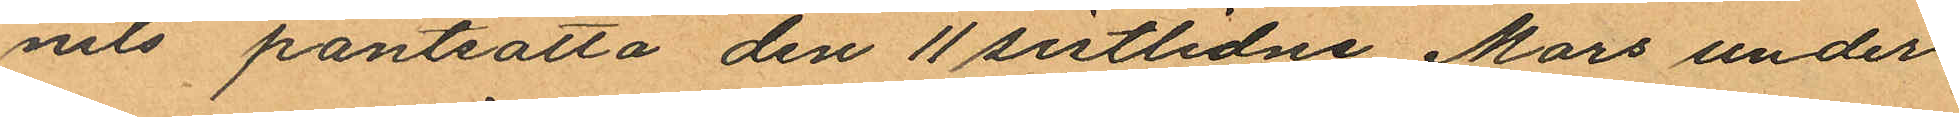nits pantsatta den 11 sistlidne Mars under
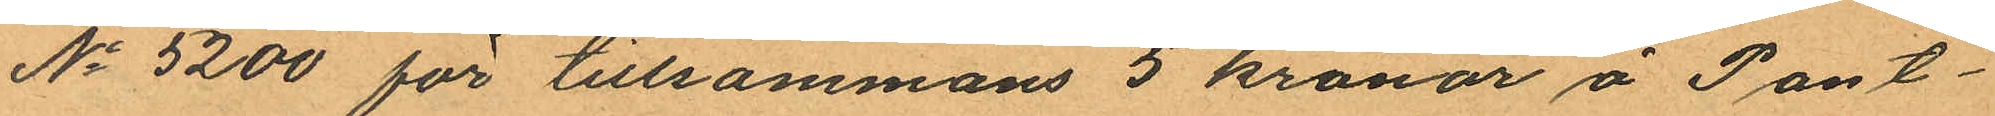No 5200 för tillsammans 5 kronor å Pant¬
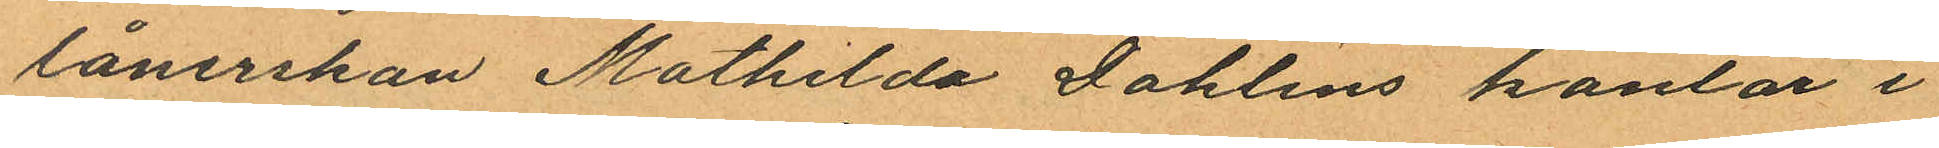lånerskan Mathilda Dahlins kontor i
